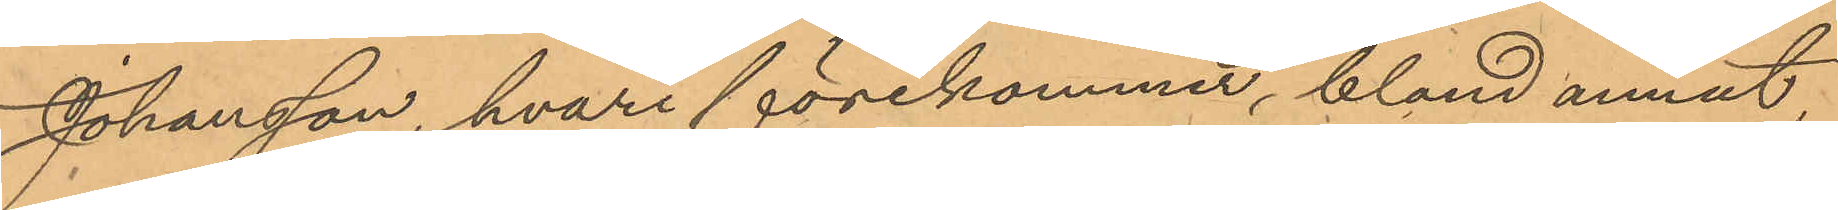Johansson, hvari förekommer, bland annat
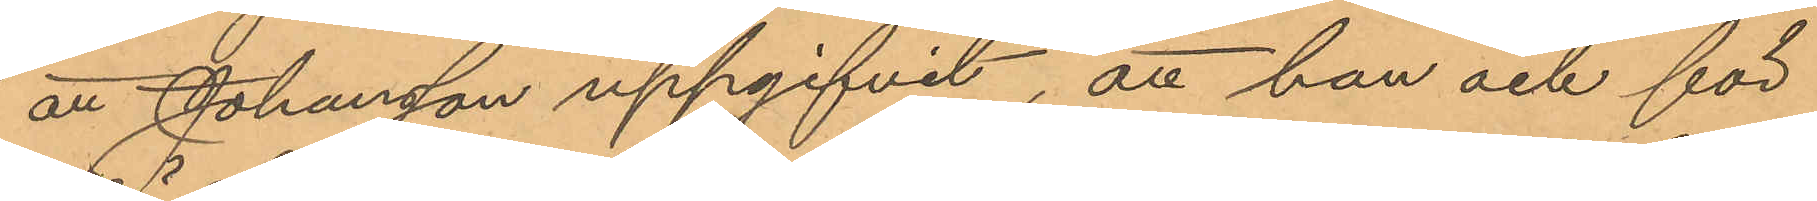att Johansson uppgifvit, att han och för
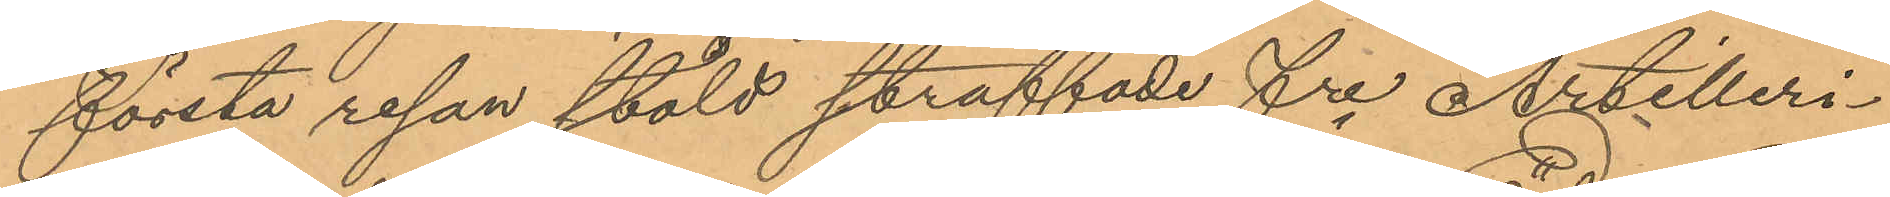första resan stöld straffade fre Artilleri¬
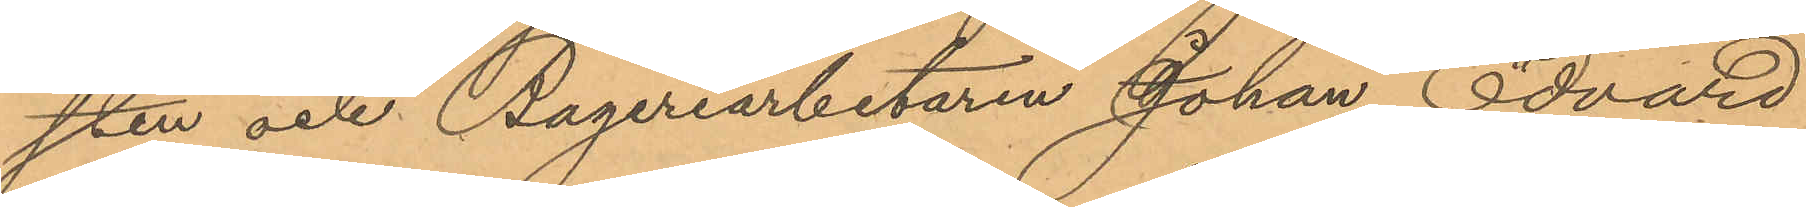sten och Bageriarbetaren Johan Edvard
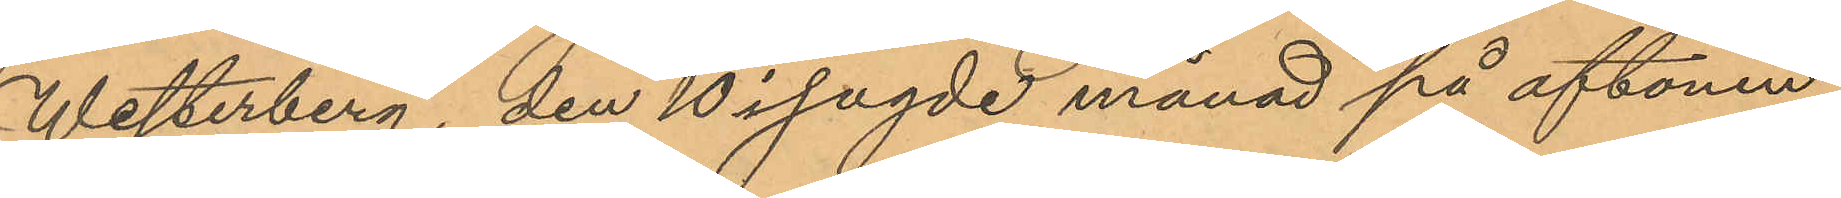Westerberg, den 10 i sagde månad på aftonen,
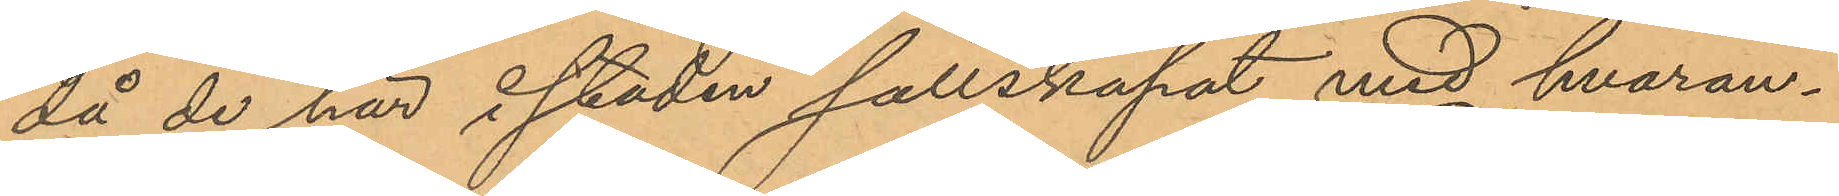då de här i staden sällskapat med hvaran¬
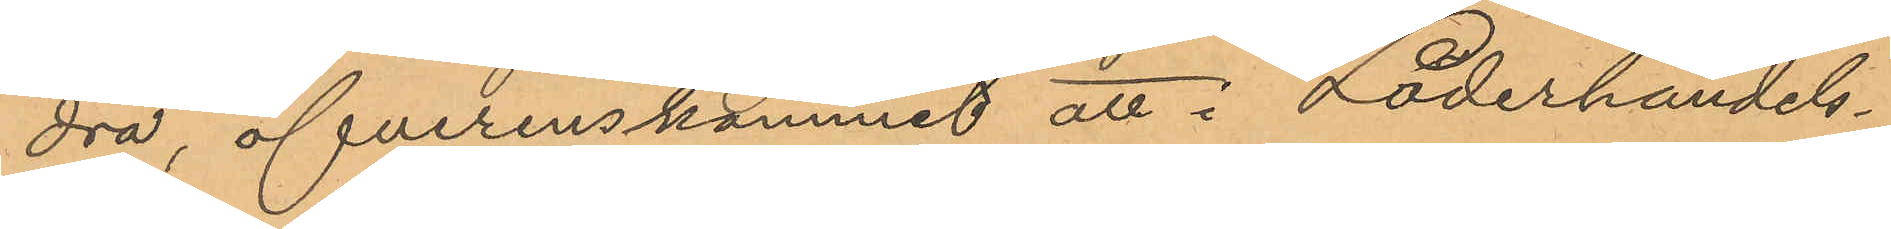dra, öfverenskommit att i Läderhandels¬
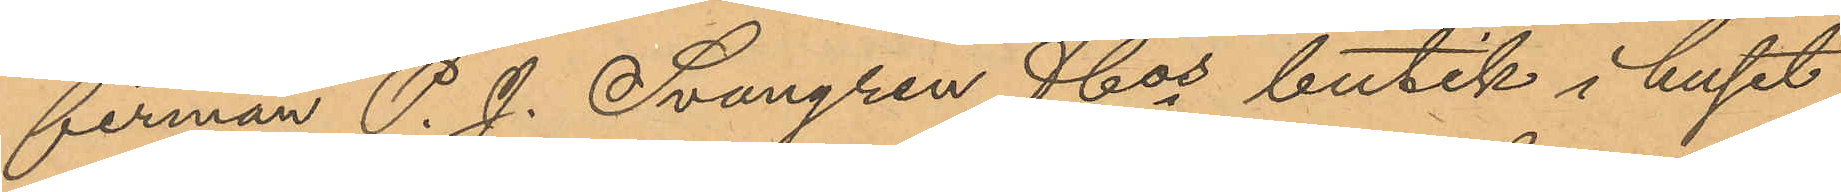firman P. J. Svangren & Cos butik i huset
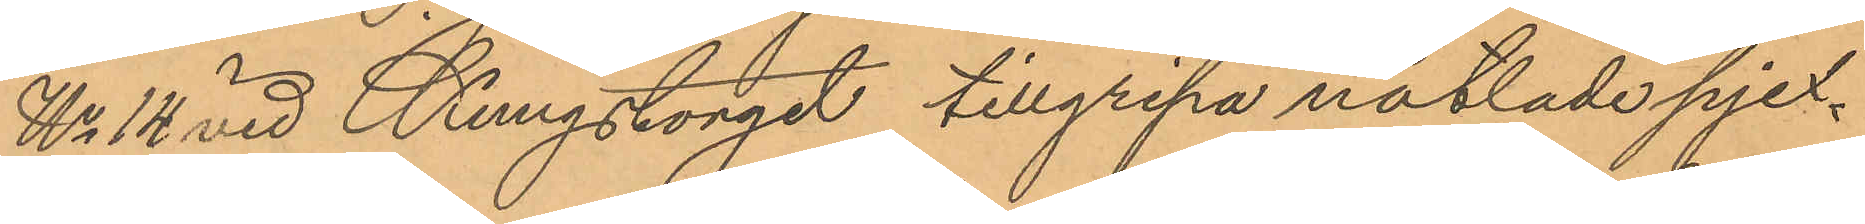No 14 vid Kungstorget tillgripa nåtlade pjex¬
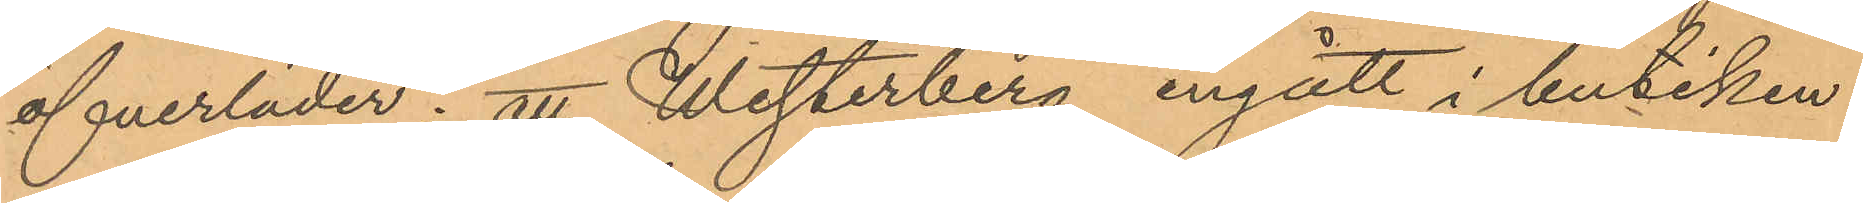öfverläder; att Westerberg ingått i butiken
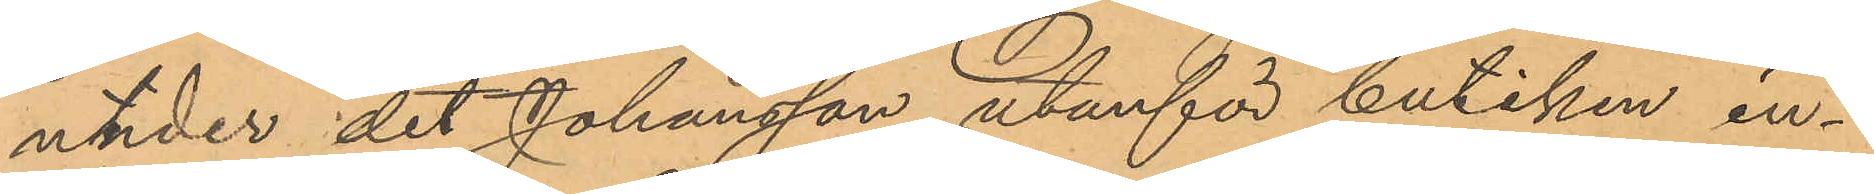under det Johansson utanför butiken in¬
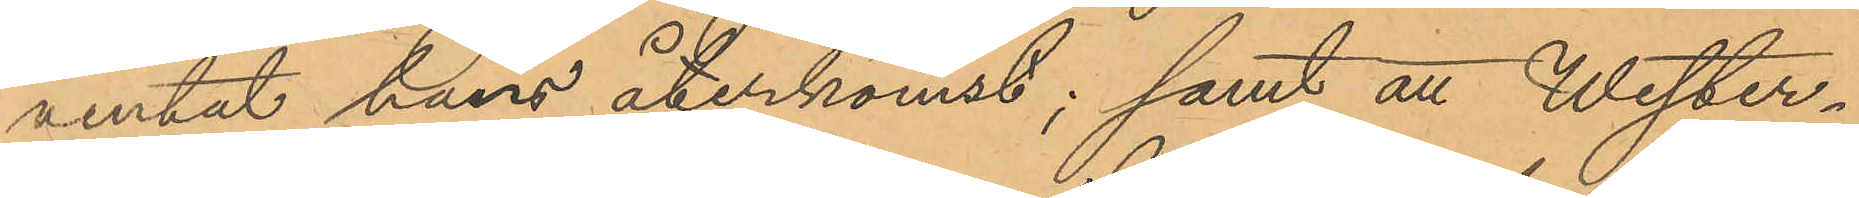ventat hans återkomst; samt att Wester¬
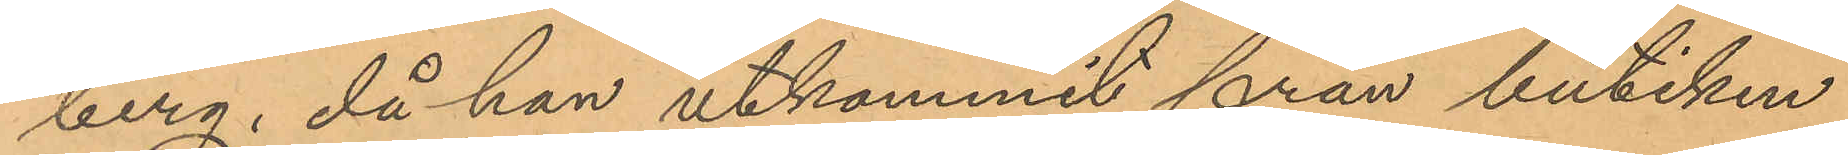berg, då han utkommit från butiken
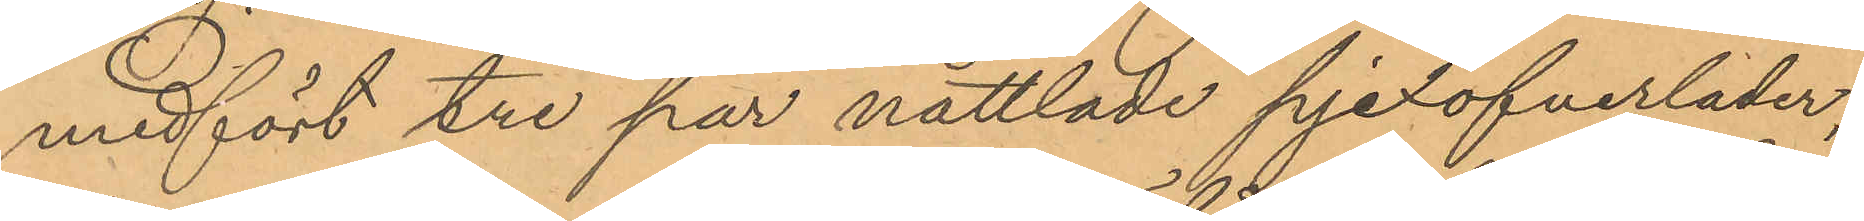medfört tre par nåttlade pjexöfverläder,
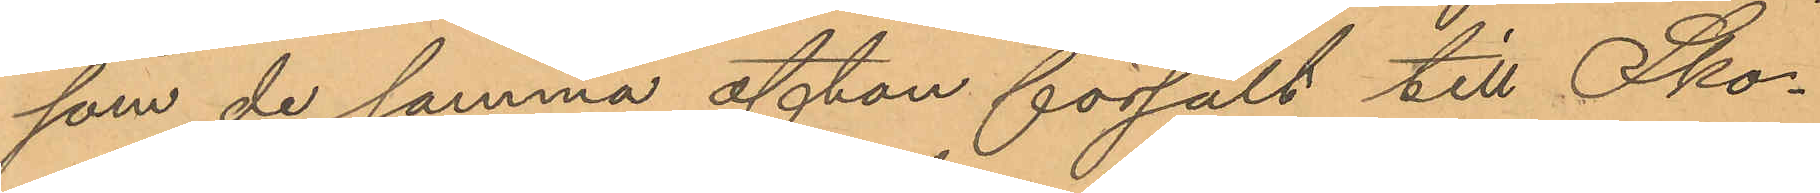som de samma afton försålt till Sko¬
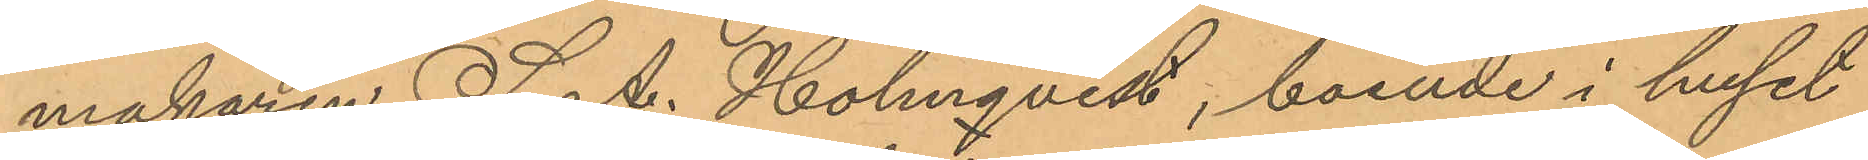makaren S. A. Holmqvist, boende i huset
